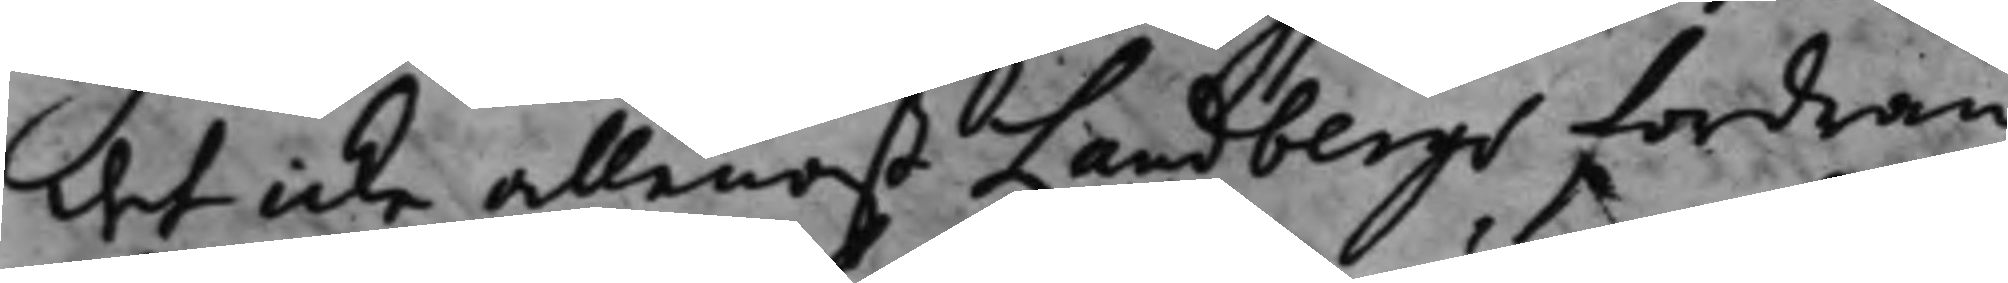det icke allenast Landbergs fordran
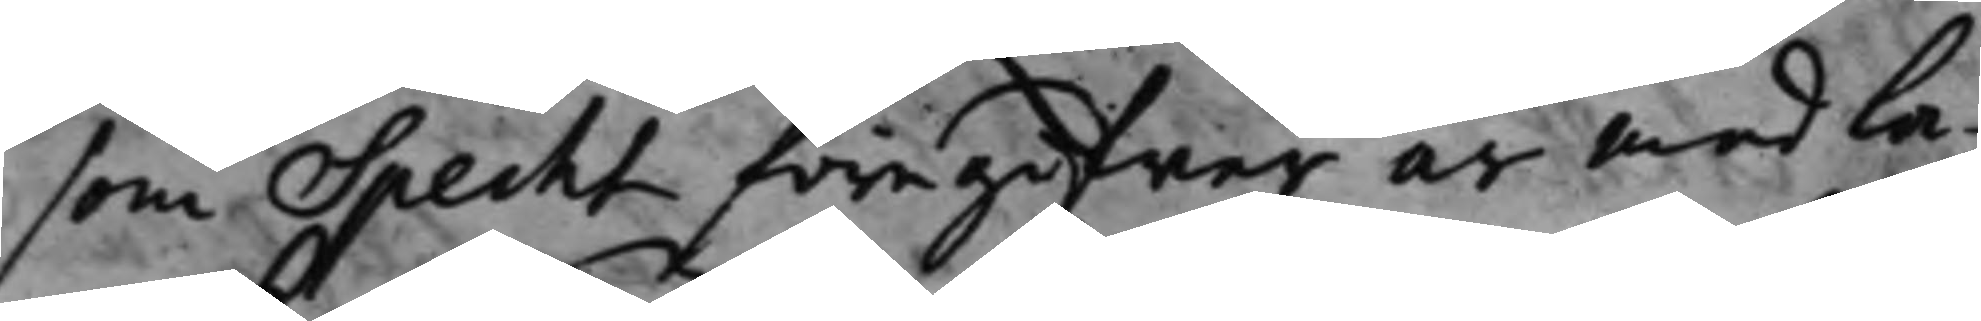som Specht föregifwer är med la¬
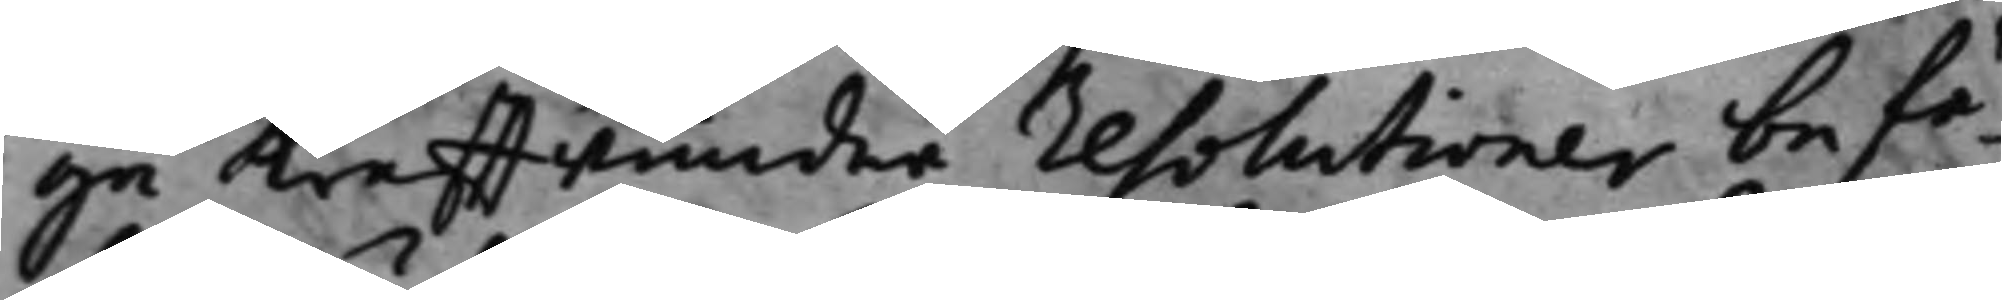ga krafftwundne resolutioner befä¬
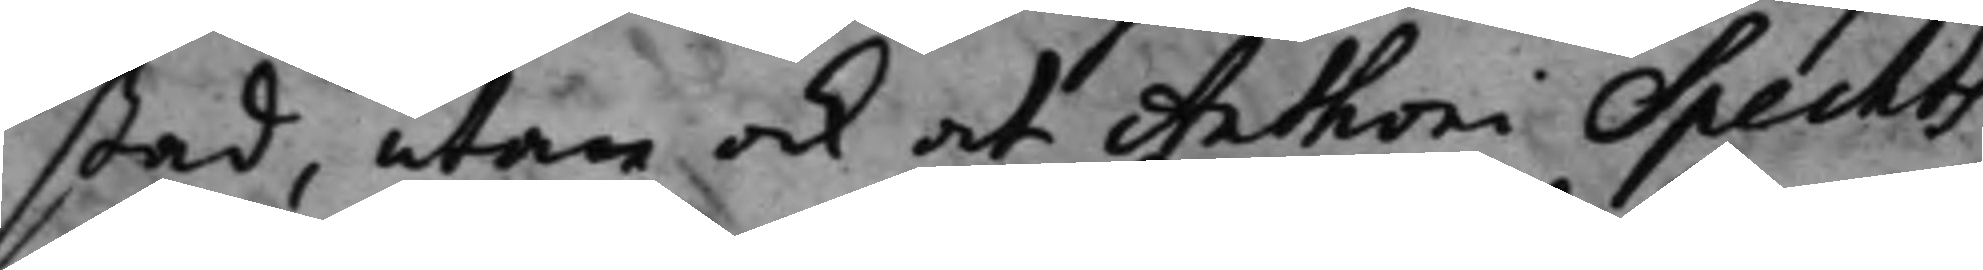stad, utan ock at Anthoni Spechts
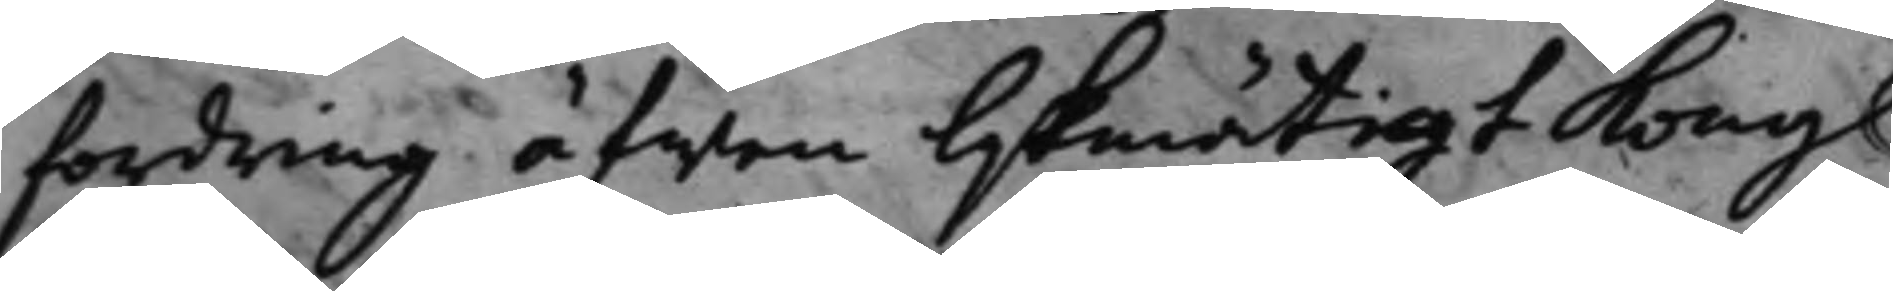fordring äfwen lijkmätigt Kongl.
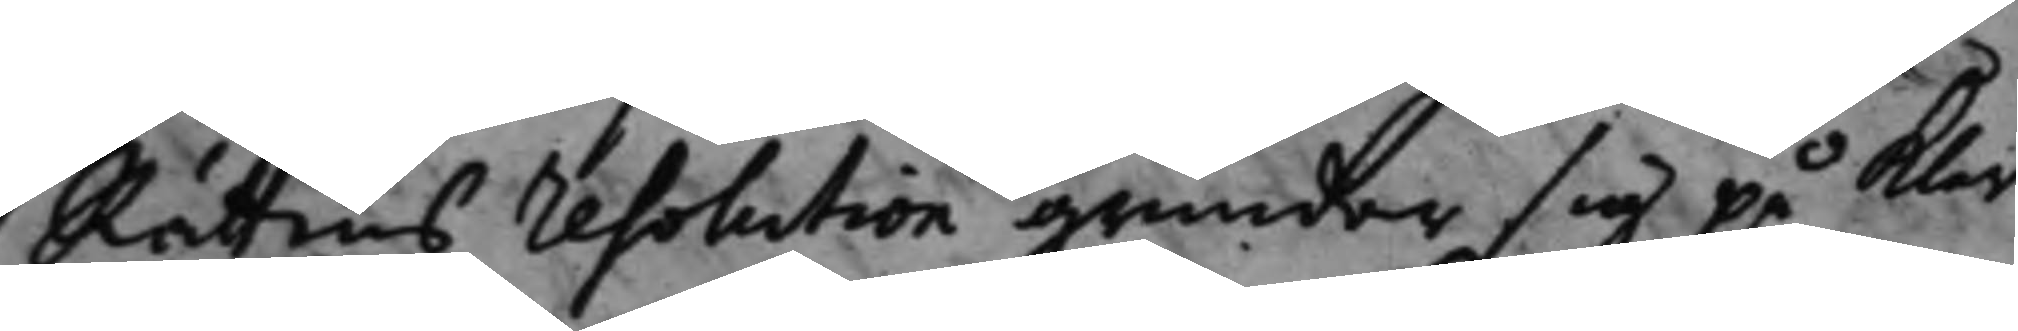Rättens resolution grundar sig på klar
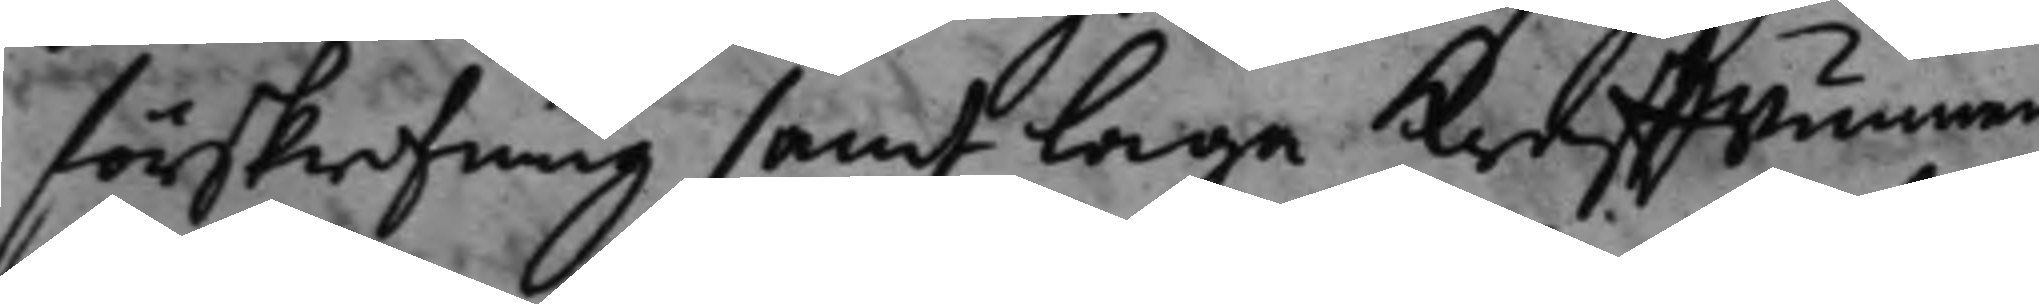förskrifning samt laga krafftwunnen
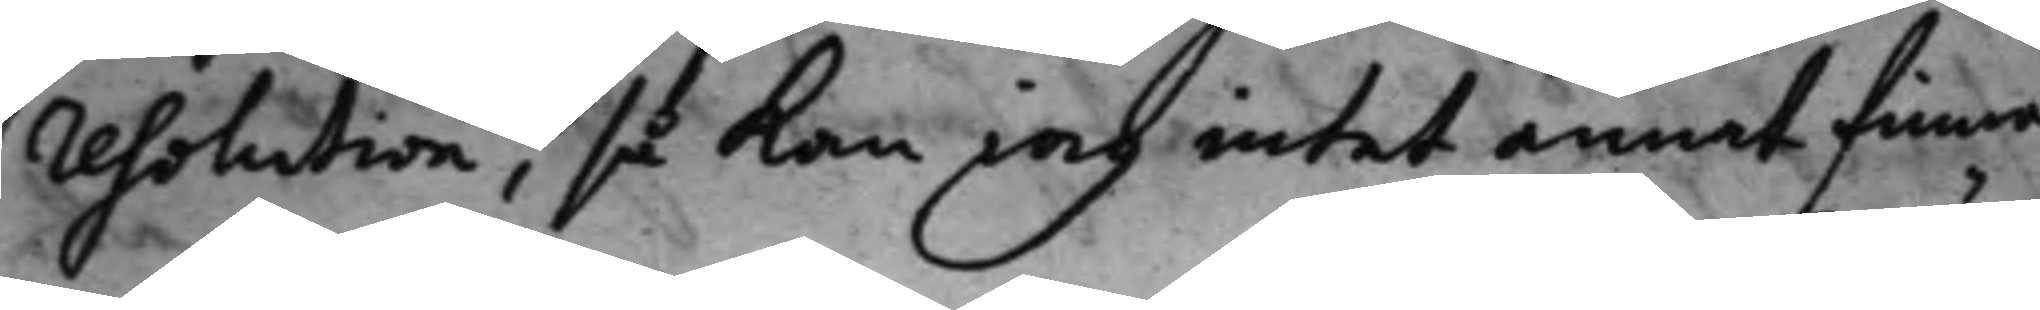resolution, så kan iag intet annat finna
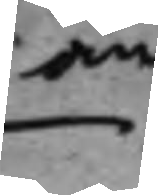än
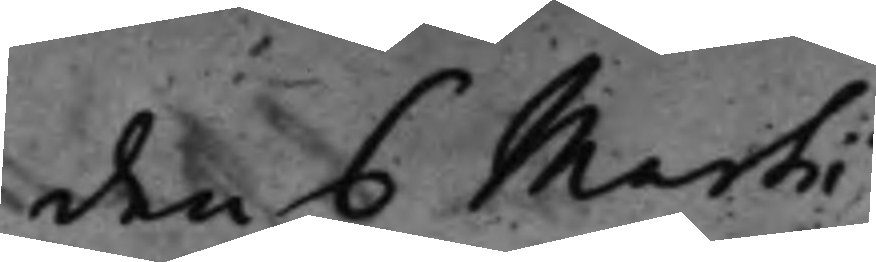den 6 Martii
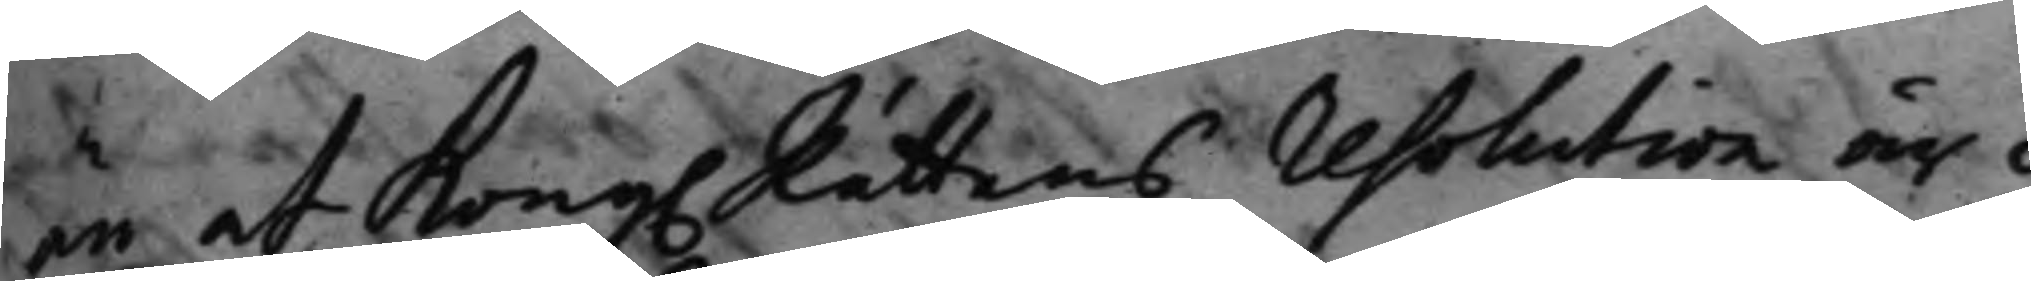än at Kong. Rättens resolution är i
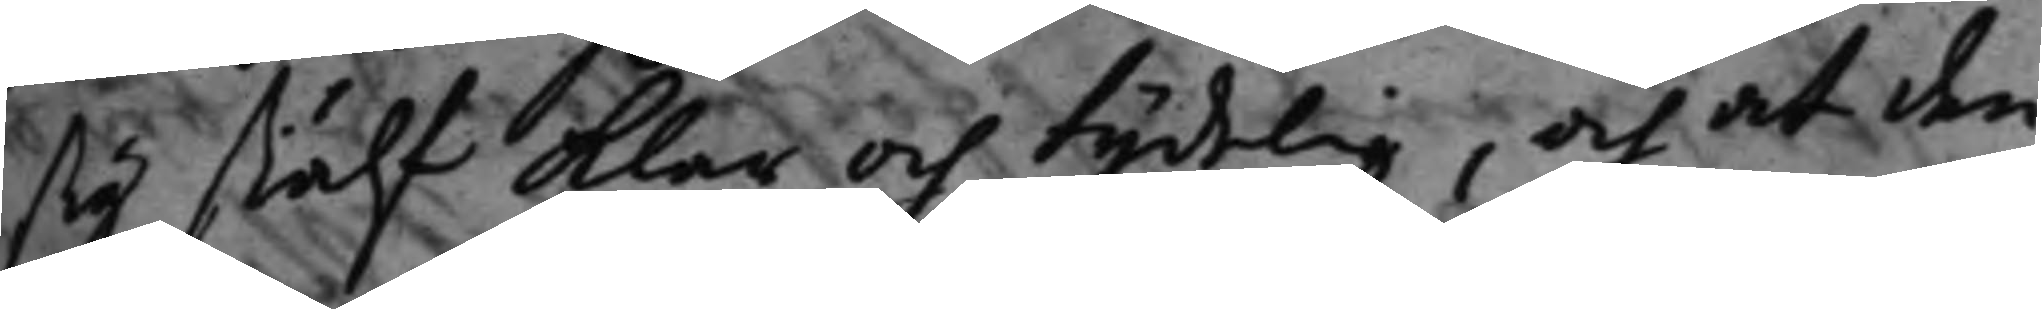sig siälf klar och tydelig, och at den
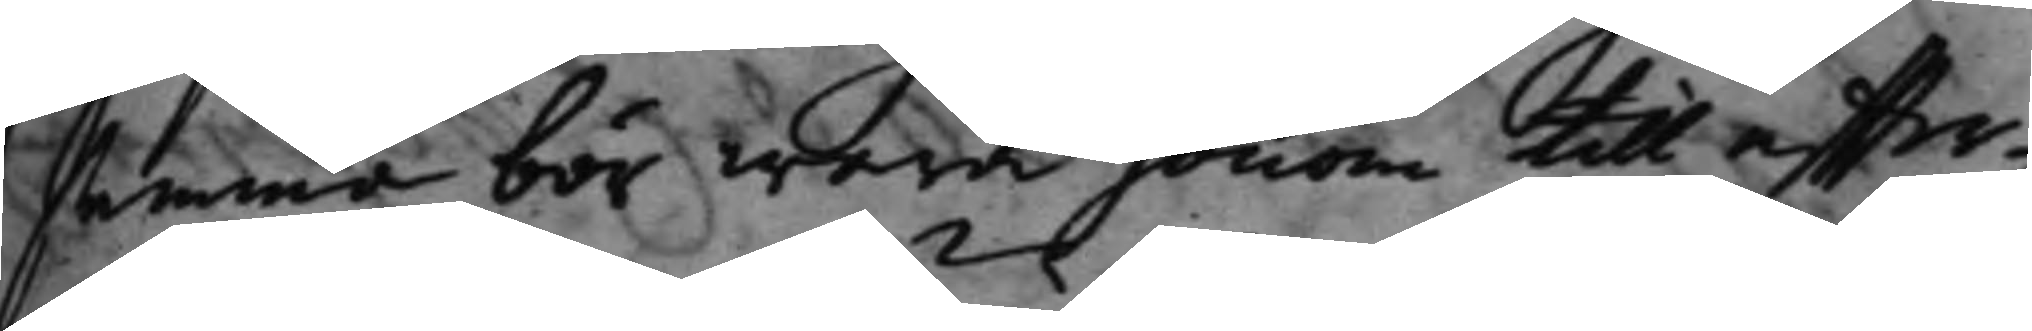samma bör wara honom till effter¬
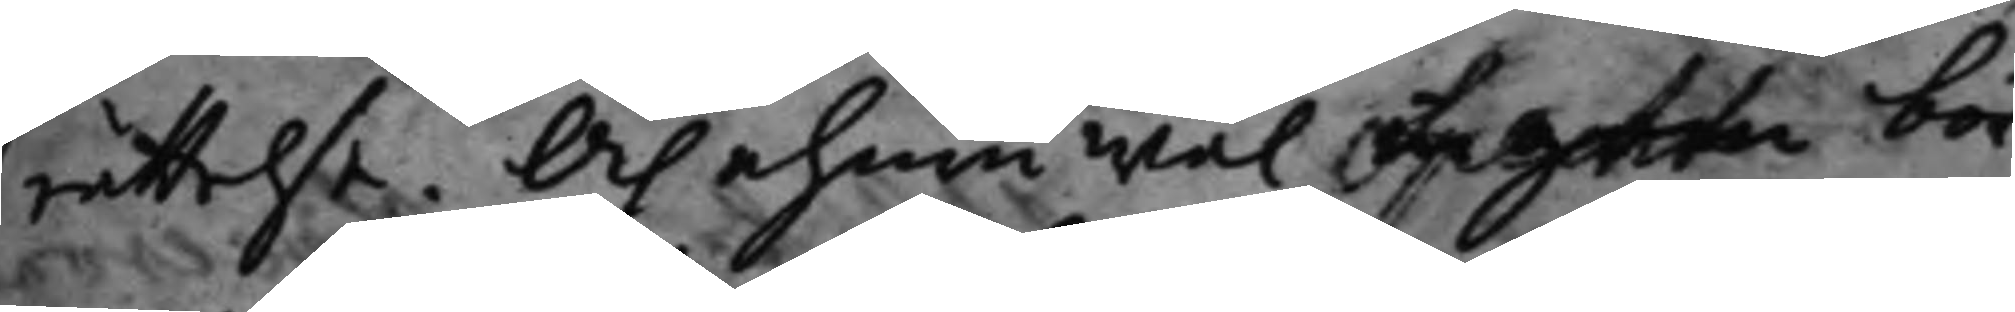rättelse, Och ehuru wäl Lagen bör
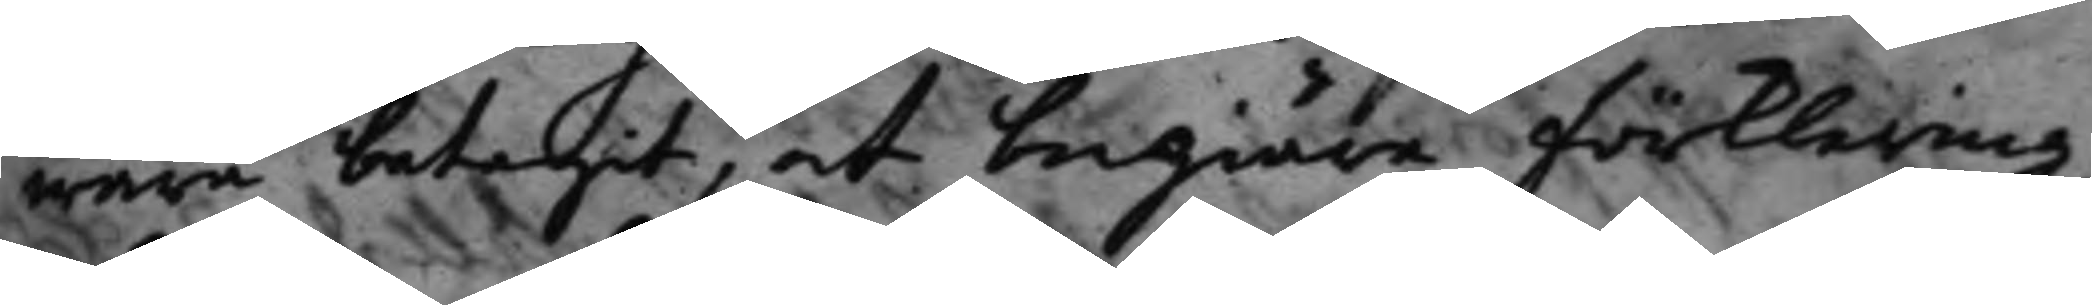wara betagit, at begiära förklaring;
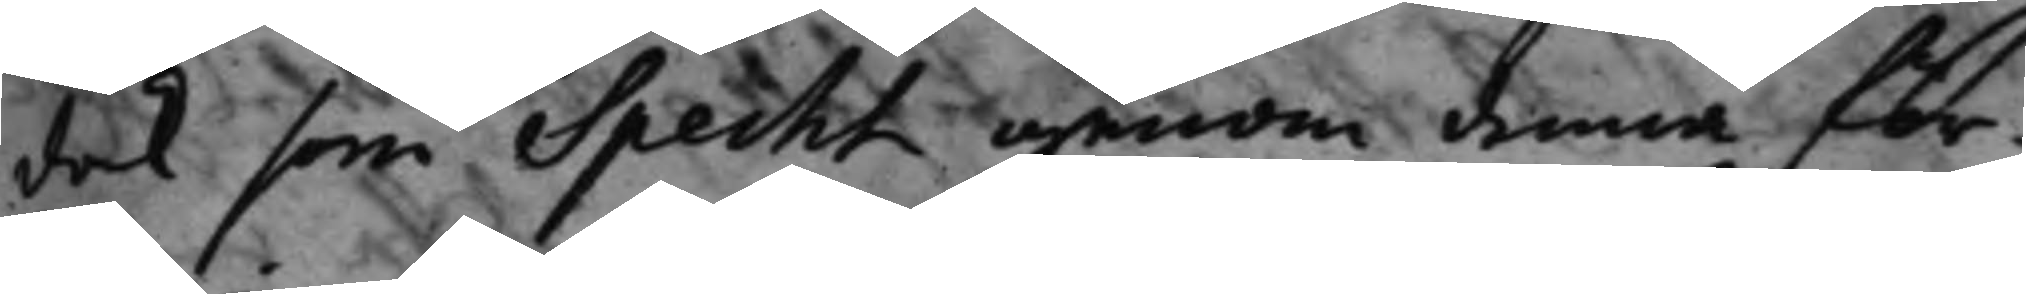dock som Specht genom denna för¬
